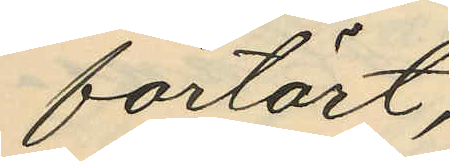förtärt;
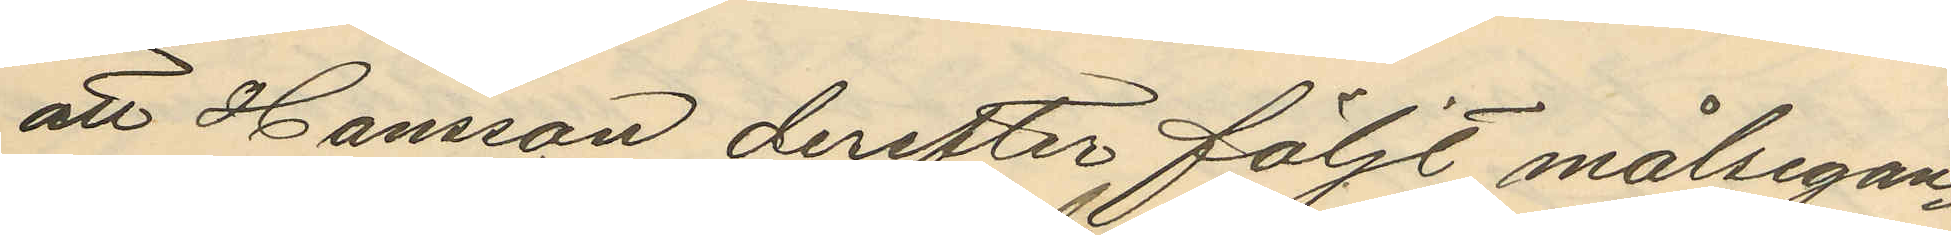att Hansson derefter följt målsegan¬
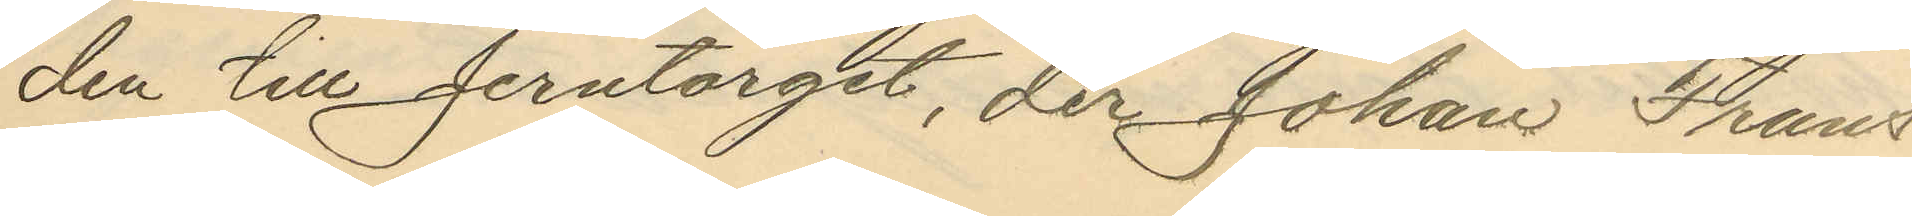den till Jerntorget, der Johan Frans
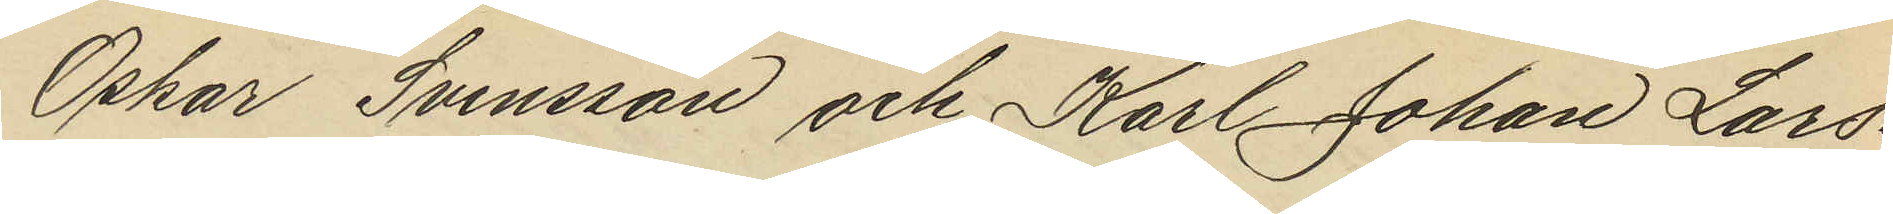Oskar Svensson och Karl Johan Lars¬
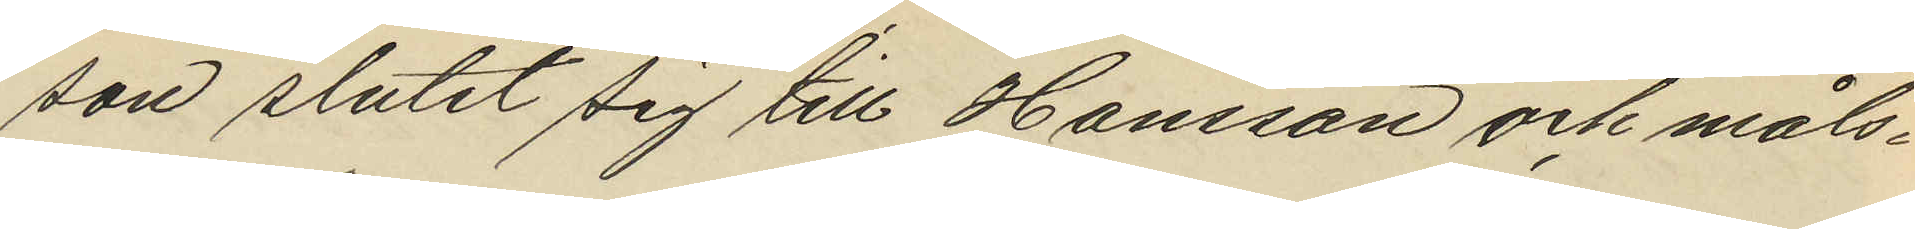son slutit sig till Hansson och måls¬
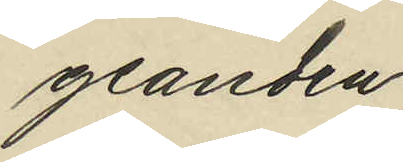geanden;
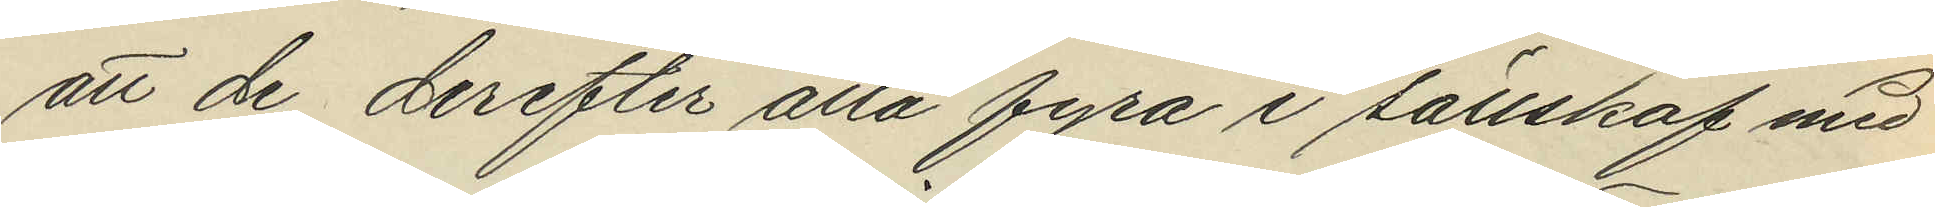att de derefter alla fyra i sällskap med
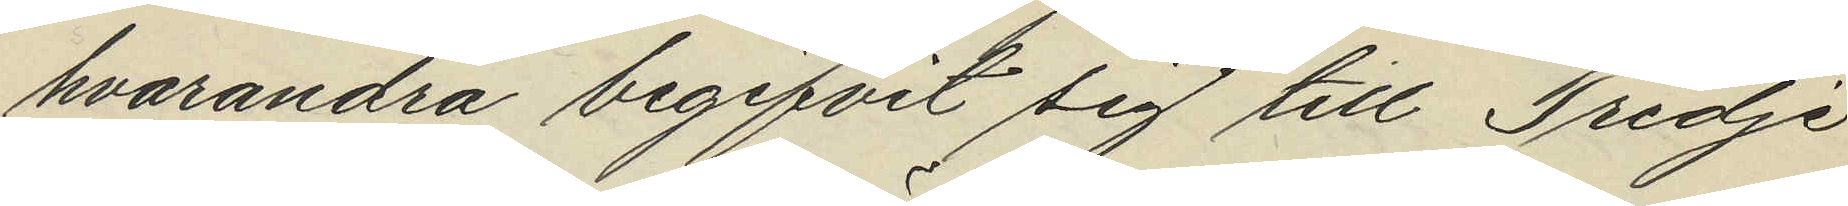hvarandra begifvit sig till Tredje
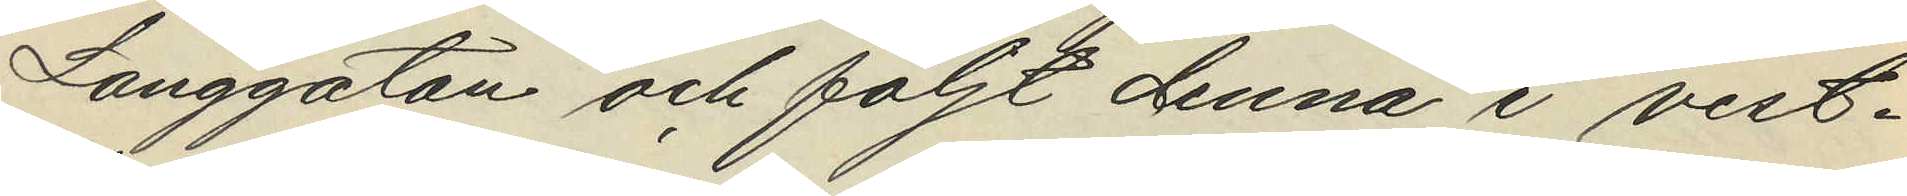Långgatan och följt denna i vest¬
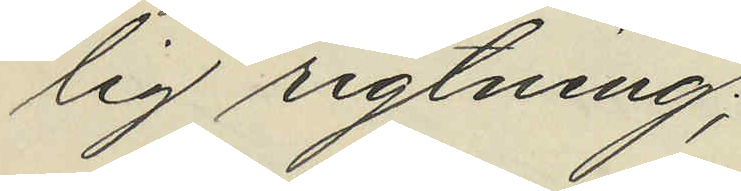lig rigtning;
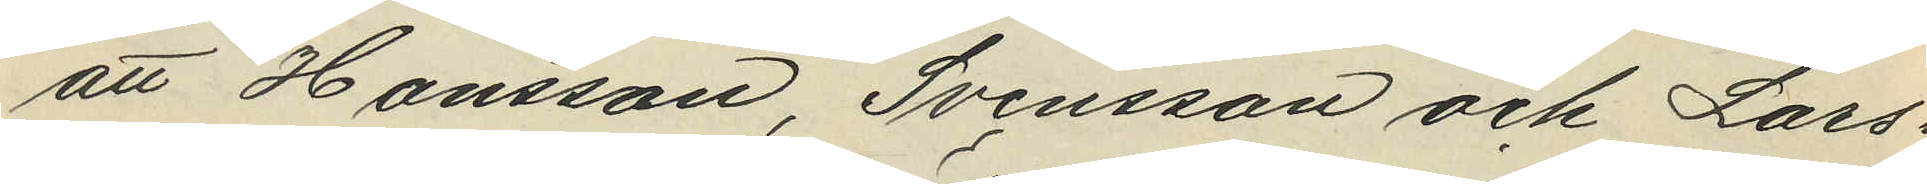att Hansson, Svensson och Lars¬
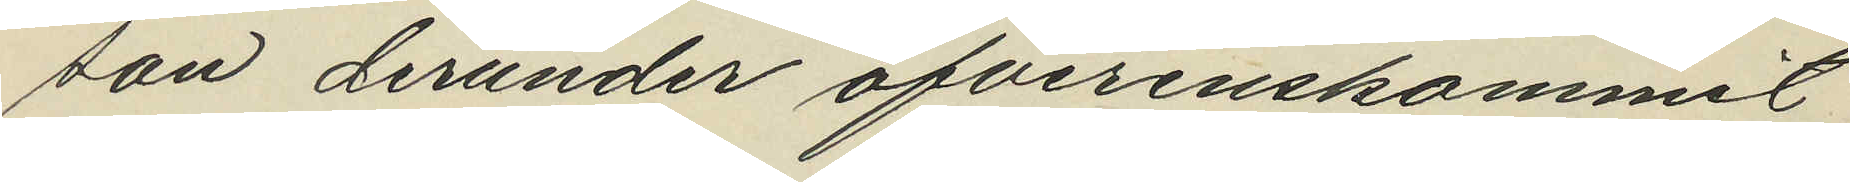son derunder öfverenskommit
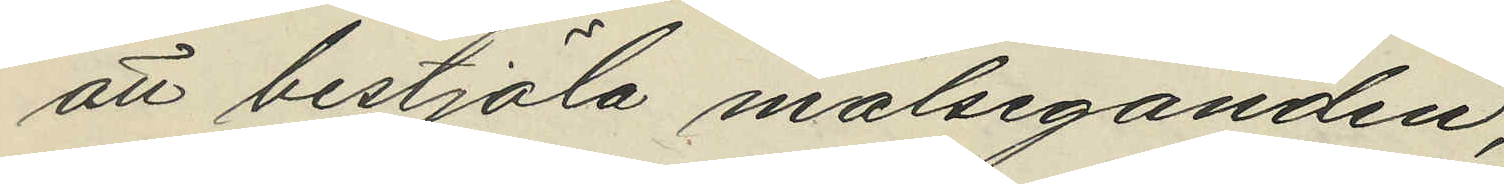att bestjäla målseganden;
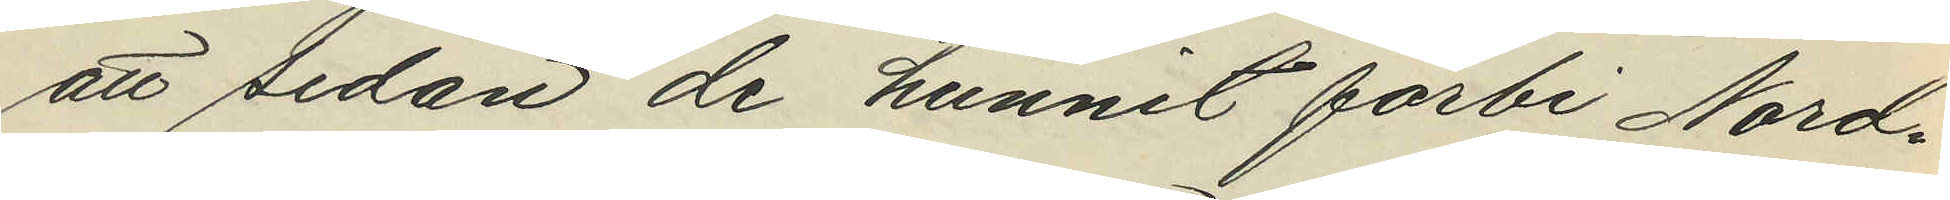att sedan de hunnit förbi Nord¬
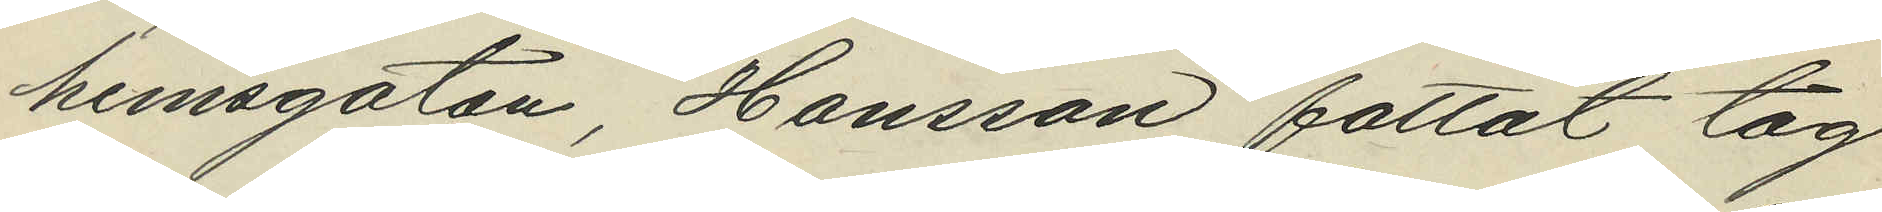hemsgatan, Hansson fattat tag
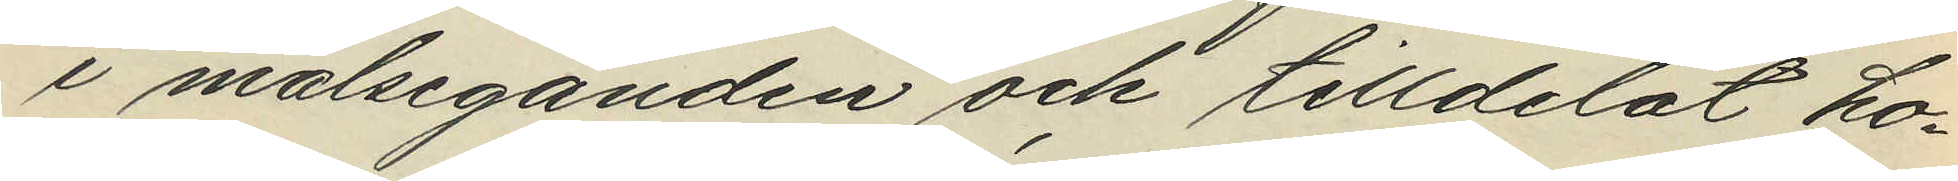i målseganden och tilldelat ho¬
